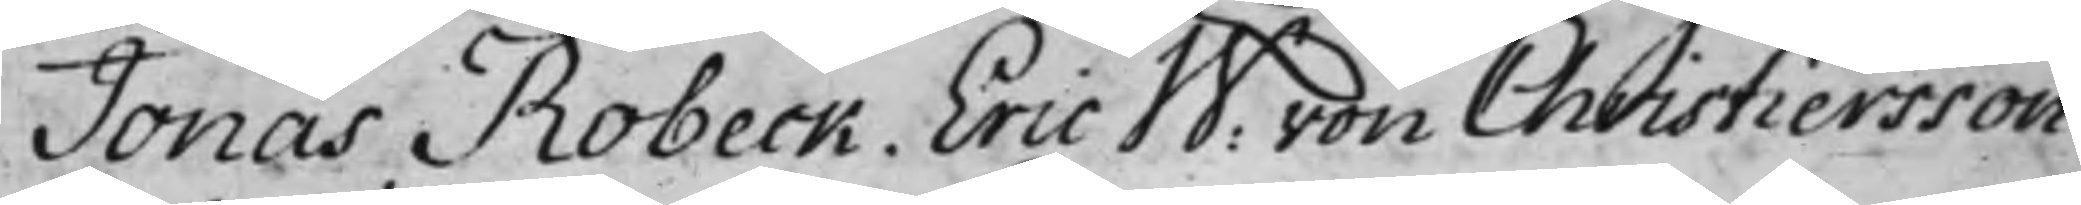Jonas Robeck. Eric W: von Christiersson
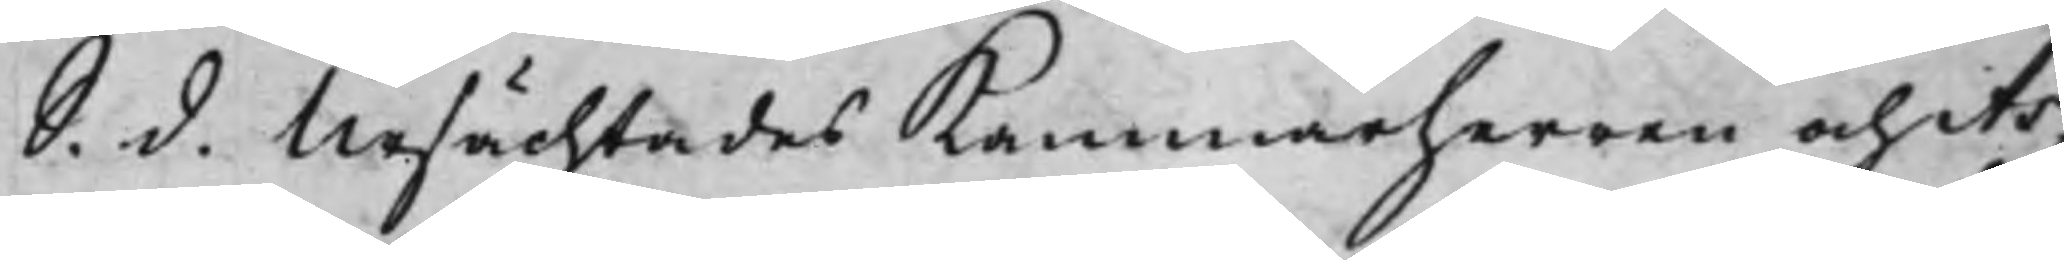S. d. Ursächtades Kammarherren och As¬
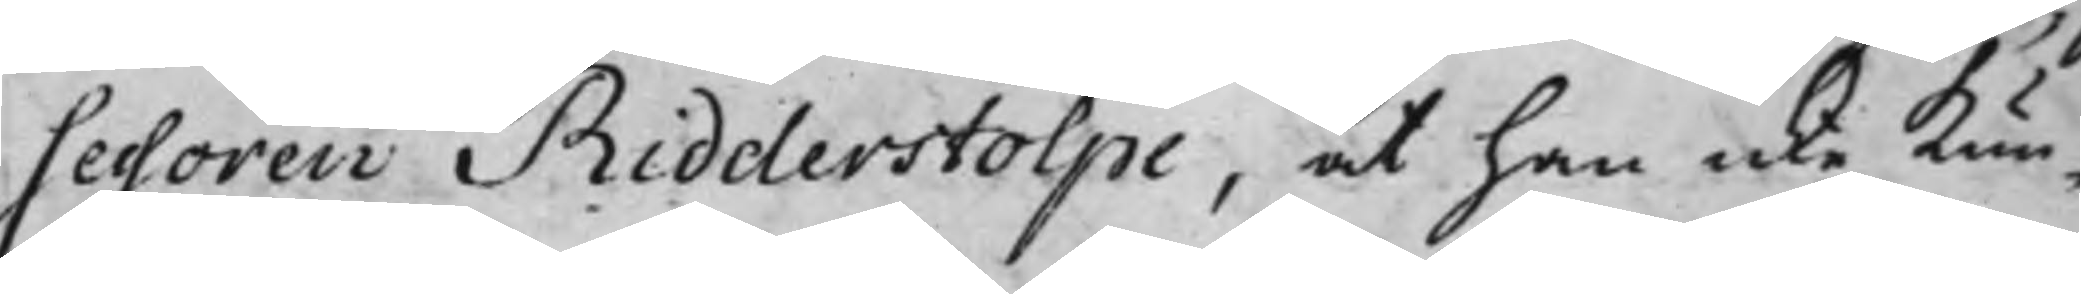sessoren Ridderstolpe, at han icke kun¬
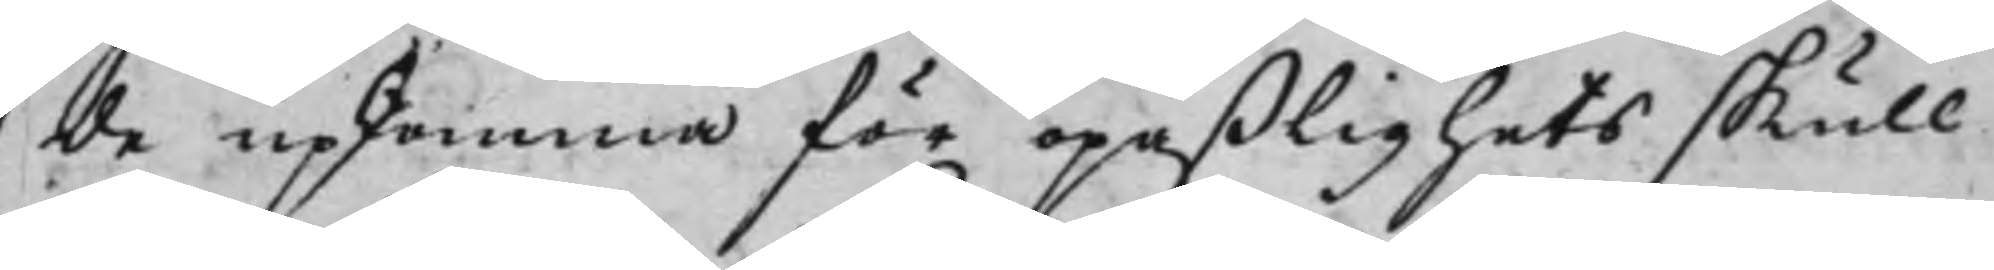de upkomma för opaßlighets skull
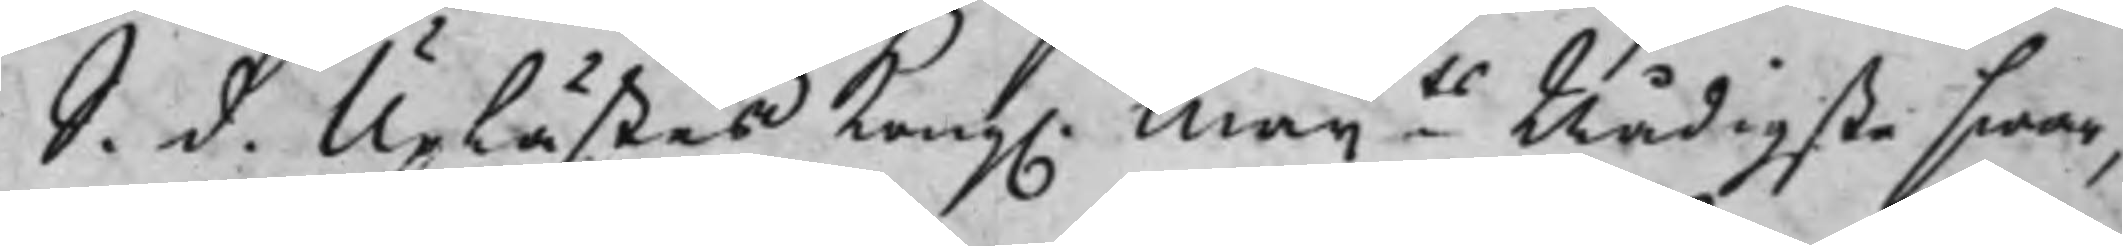S. d. Uplästes Kong. Maijts Nådigste swar,
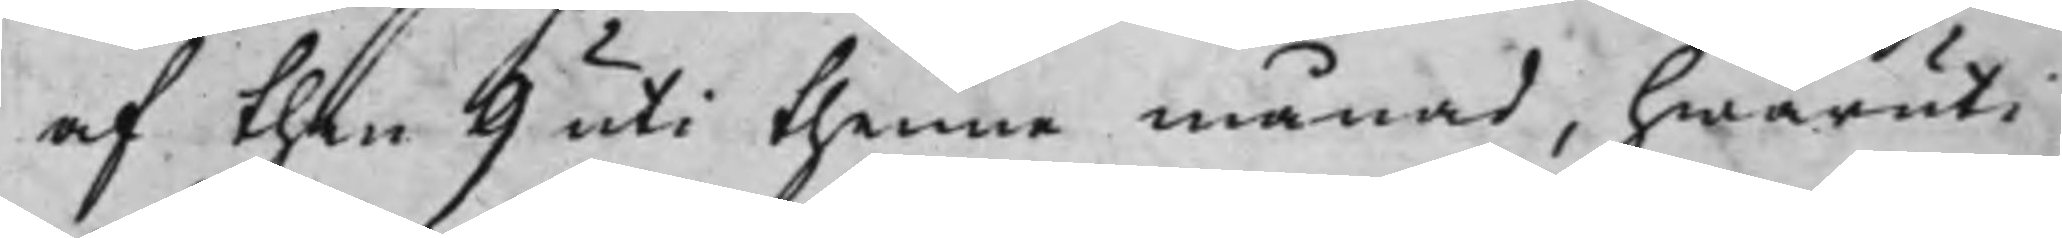af then 9 uti thenne månad, hwaruti
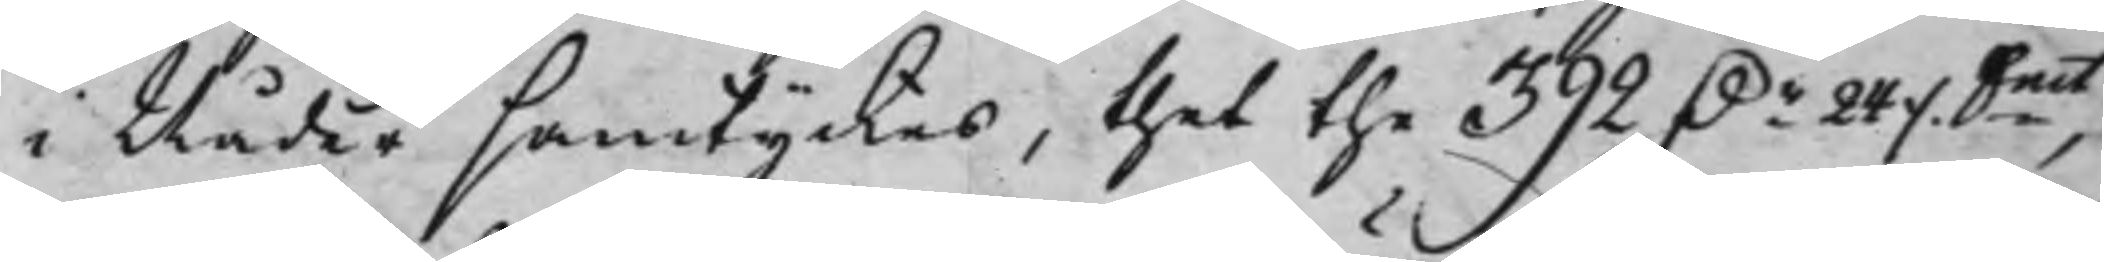i Nåder samtyckes, thet the 392 D.r 24 ./. Smt,
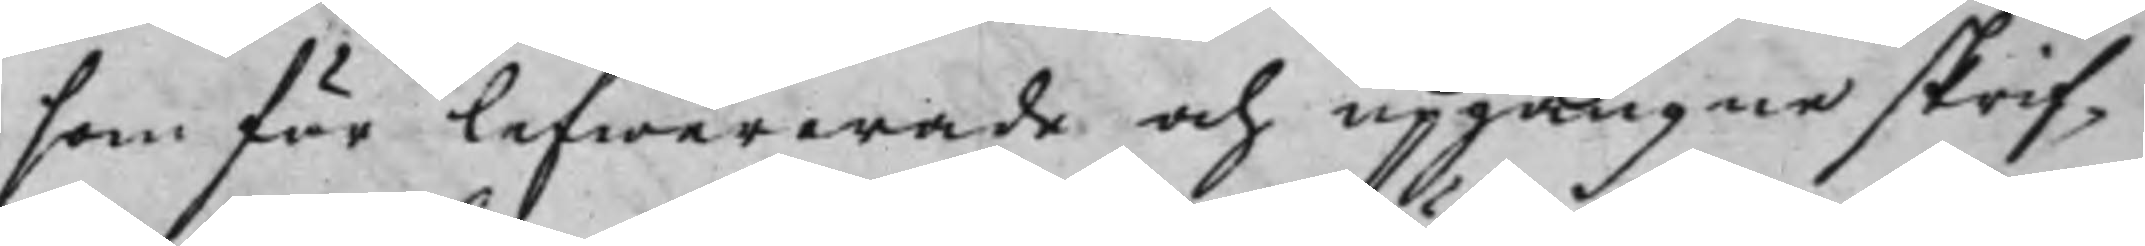som för lefwererade och upgångne skrif¬
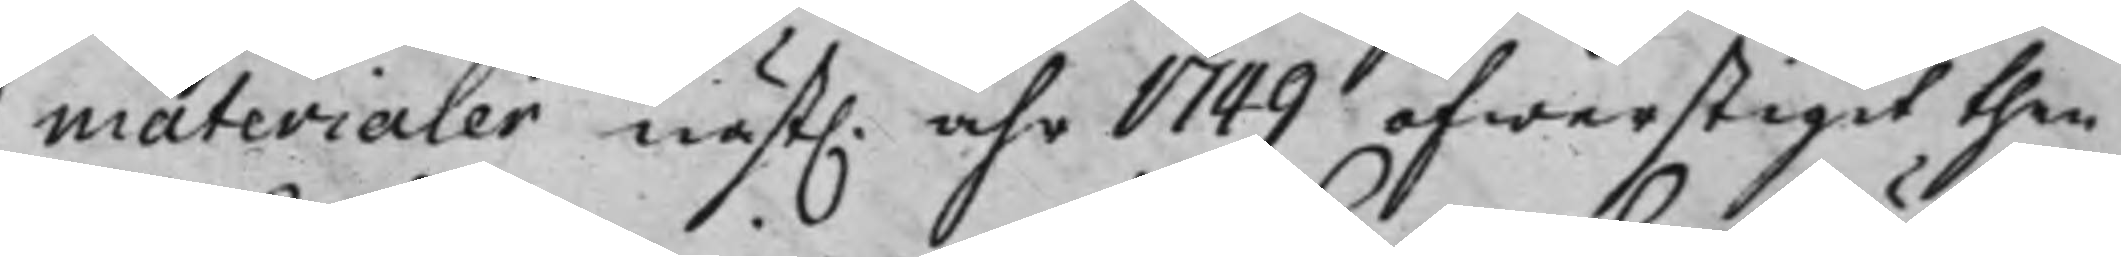materialer näst. åhr 1749 öfwerstigit then
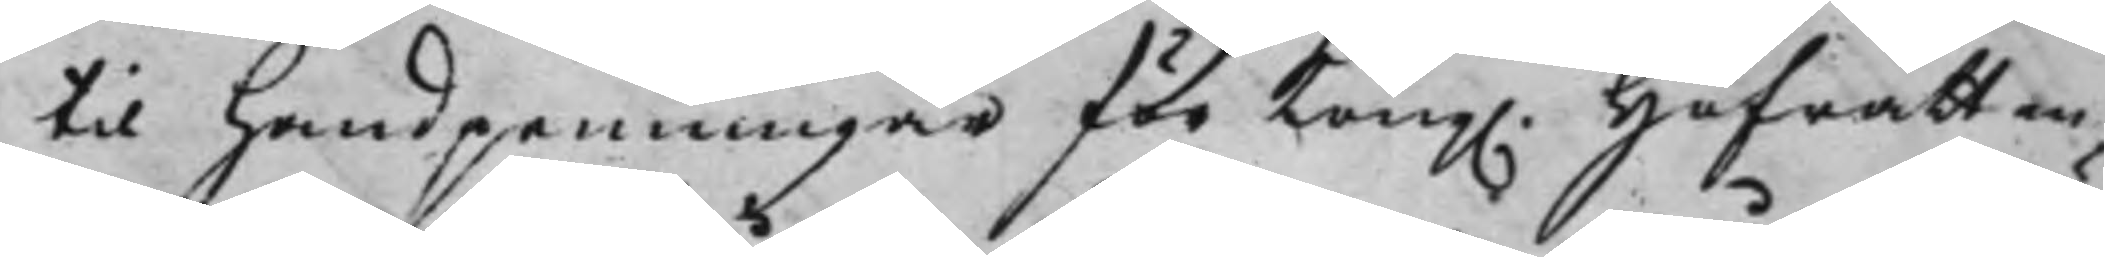til handpenningar för Kong. Hofrätten
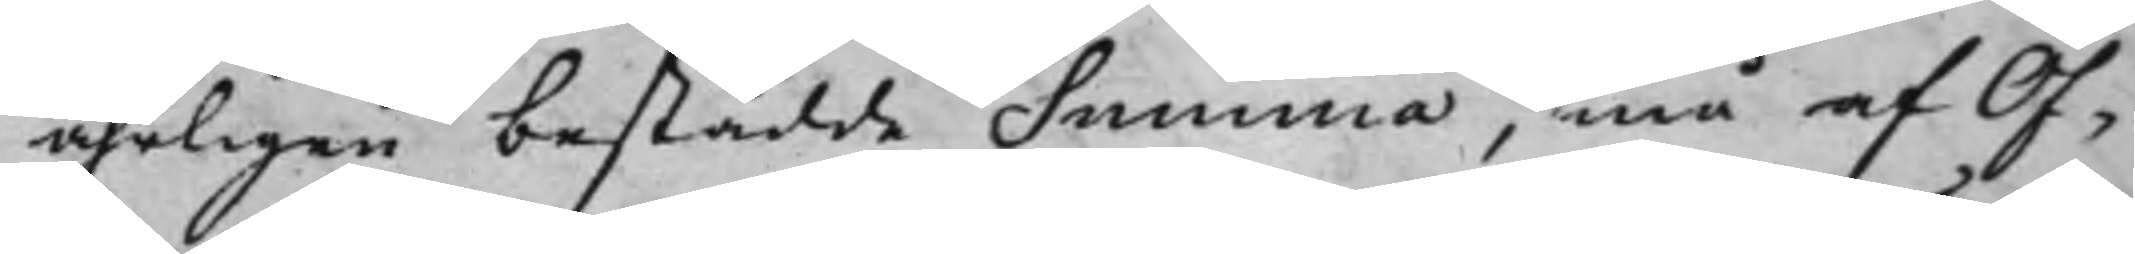åhrligen bestådde Summa, må af Öf¬
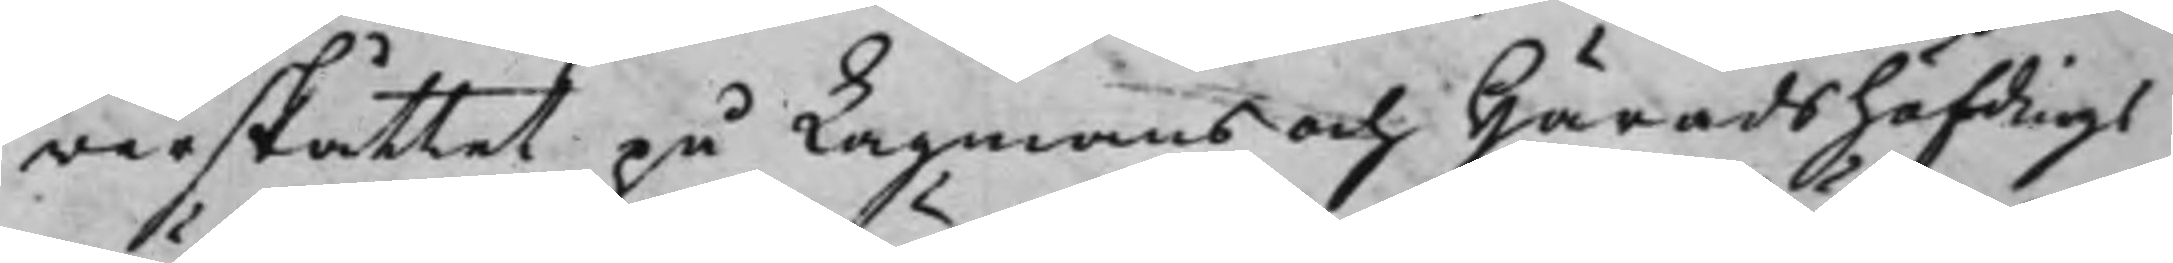werskåttet på Lagmans och Häradshöfdings¬
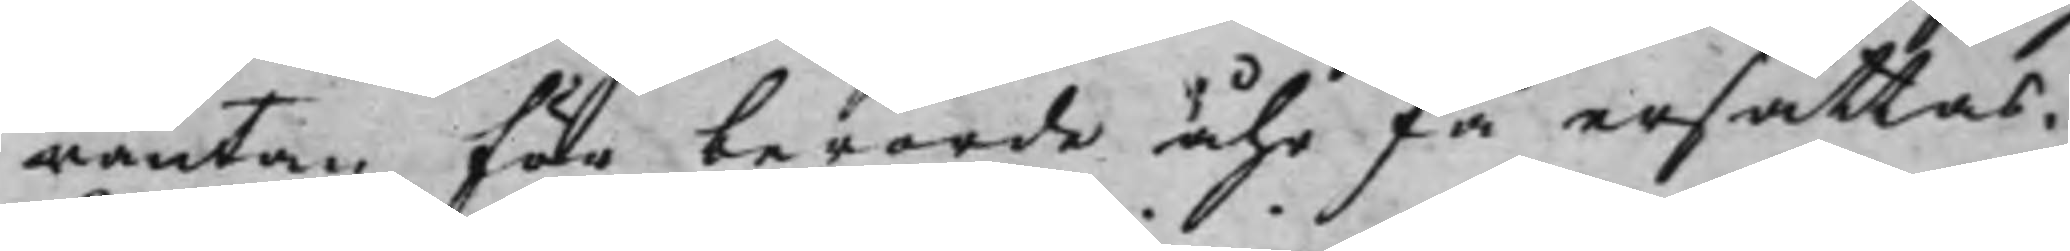räntan för berörde åhr få ersättas.
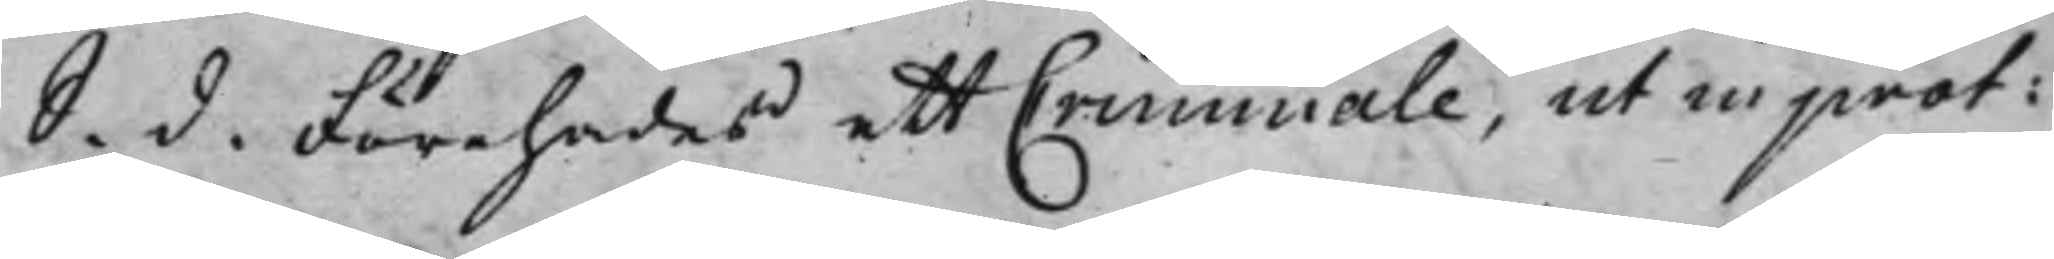S. d. Förehades ett Criminale, ut in prot:
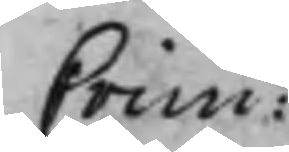Crim:
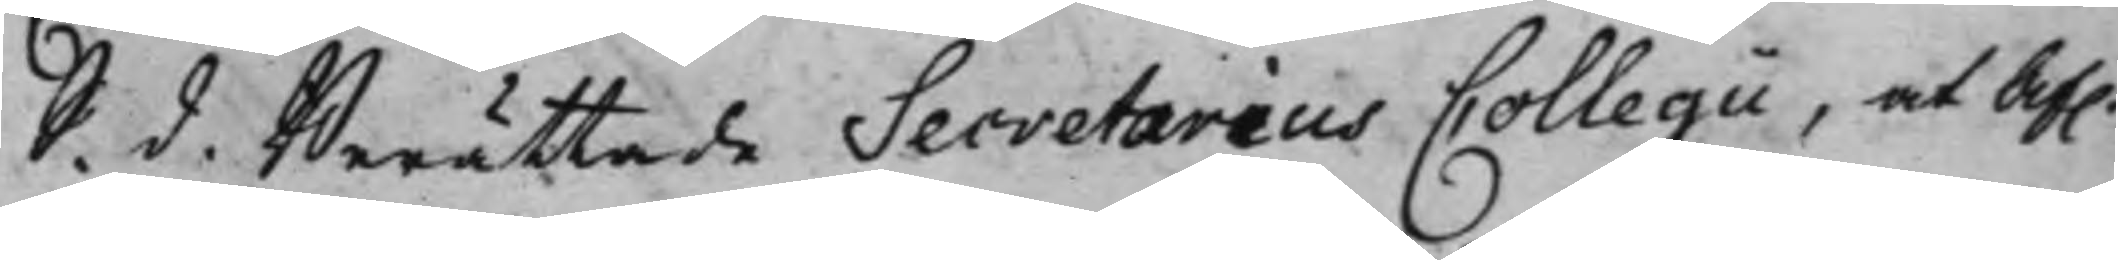S. d. Berättade Secretarius Collegii, at Af.
